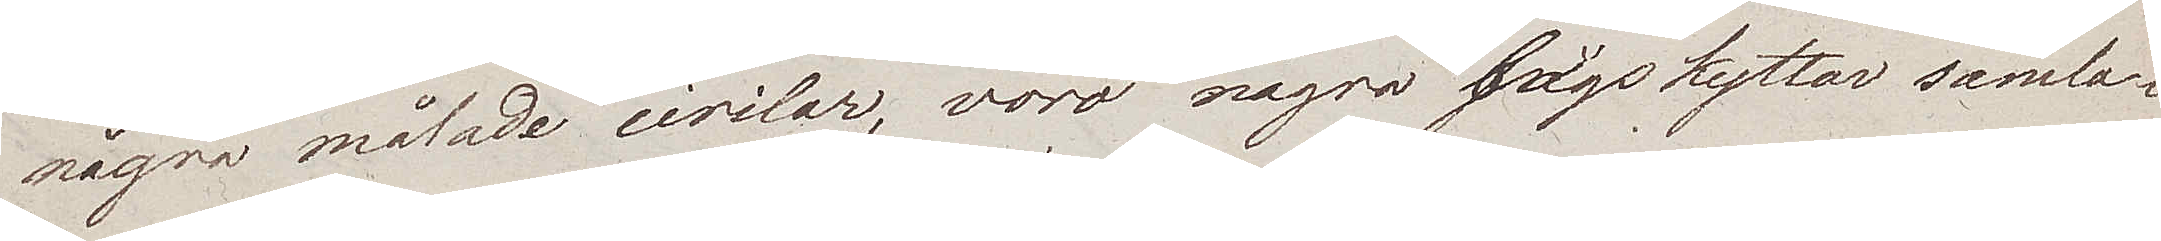några målade circlar, voro några bågskyttar samla¬
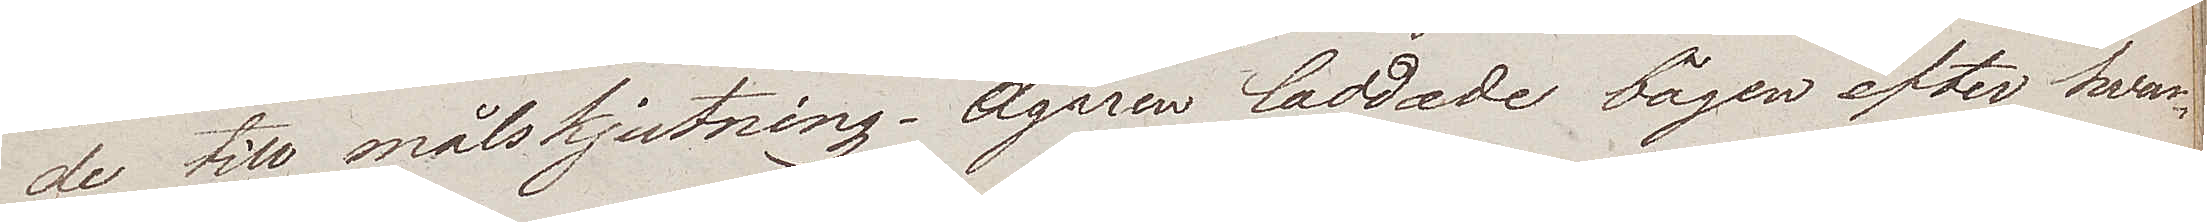de till målskjutning. Ägaren laddade bågen efter hvar¬
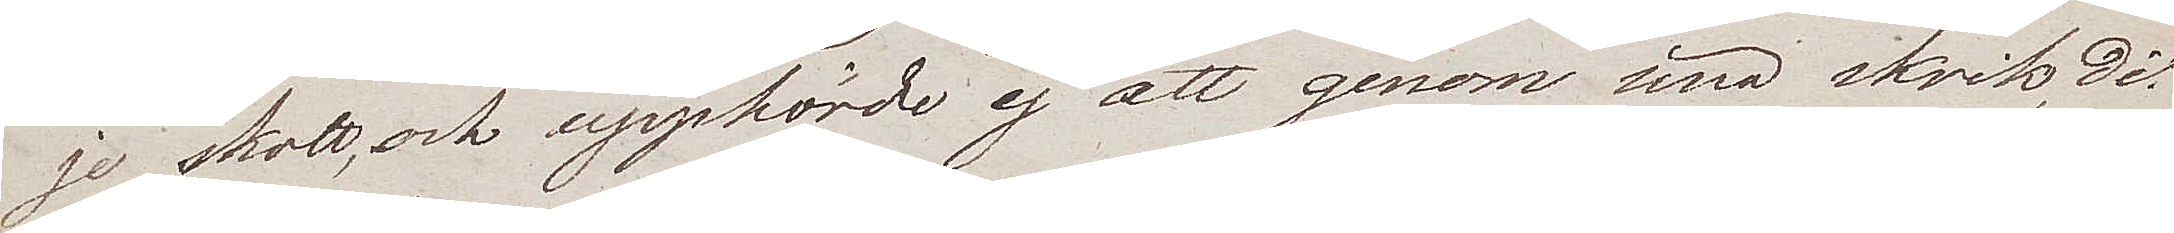je skott, och upphörde ej att genom sina skrik dit
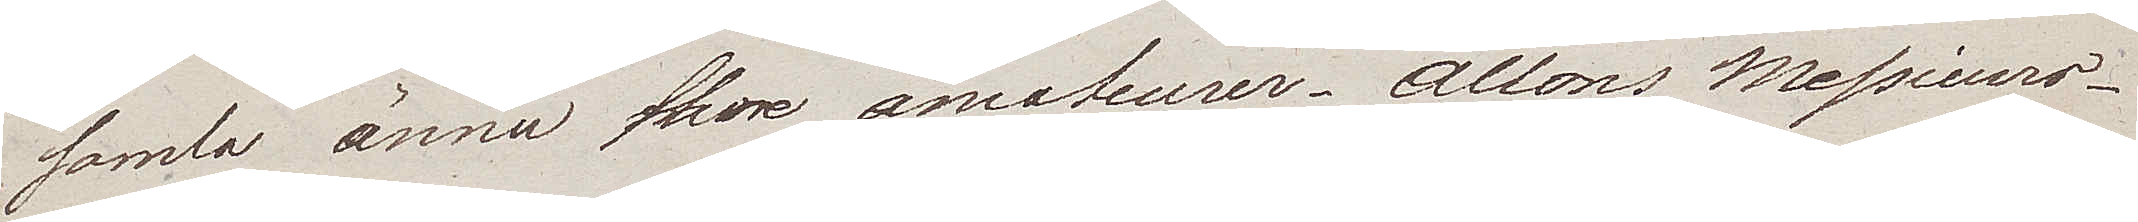samla ännu flere amateurer. Allons Messieurs.
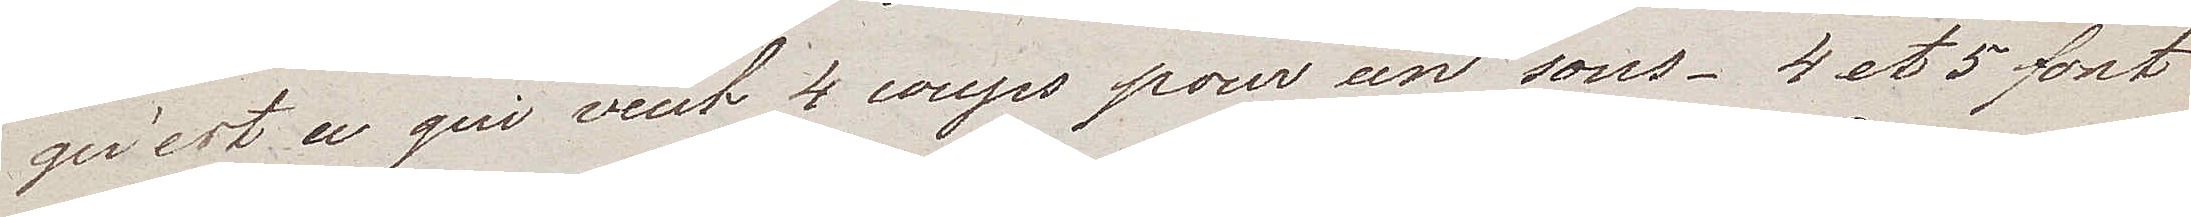qu'est a qui veut 4 coups pour un sous. 4 et 5 sont
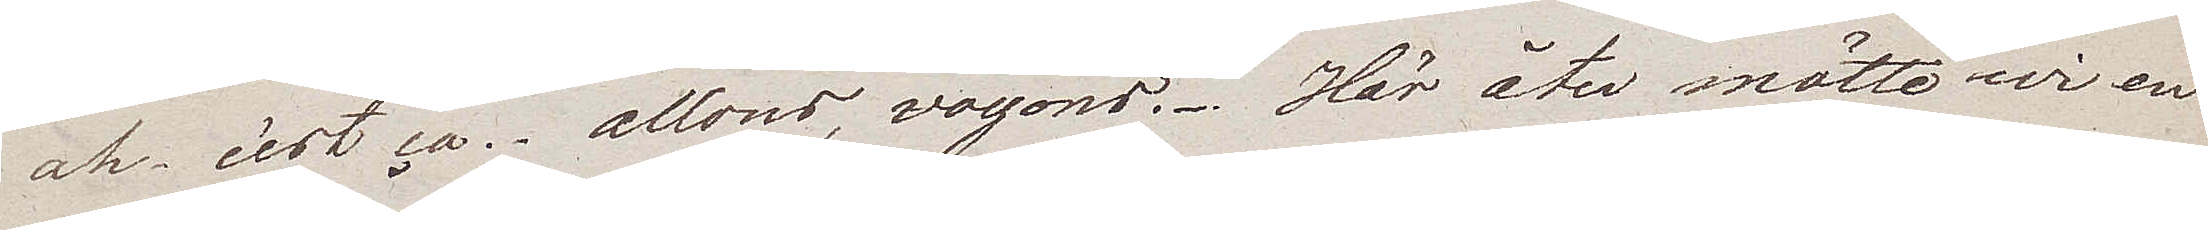ah c'est ça – allons, voyons. Här åter mötte wi en
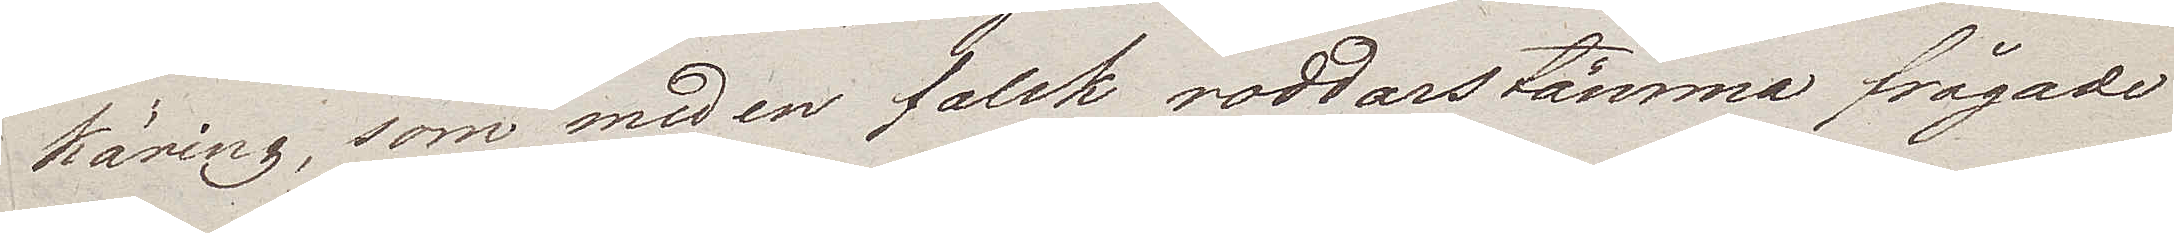käring, som med en falsk roddarstämma frågade
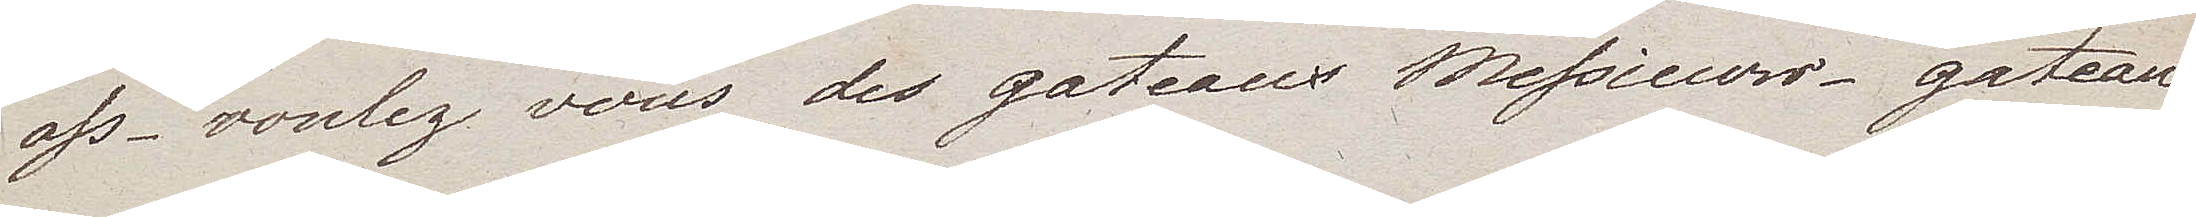oss – voulez vous des gateaux Messieurs – Gateau
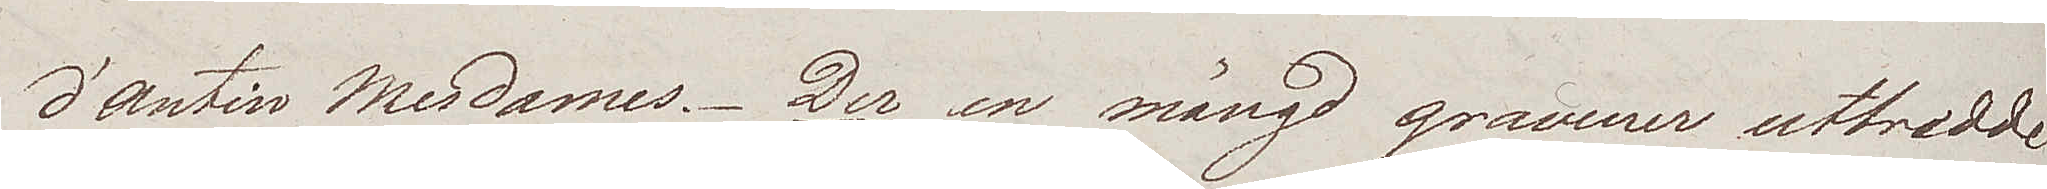d'antin Mesdames. Der en mängd gravurer utbredde
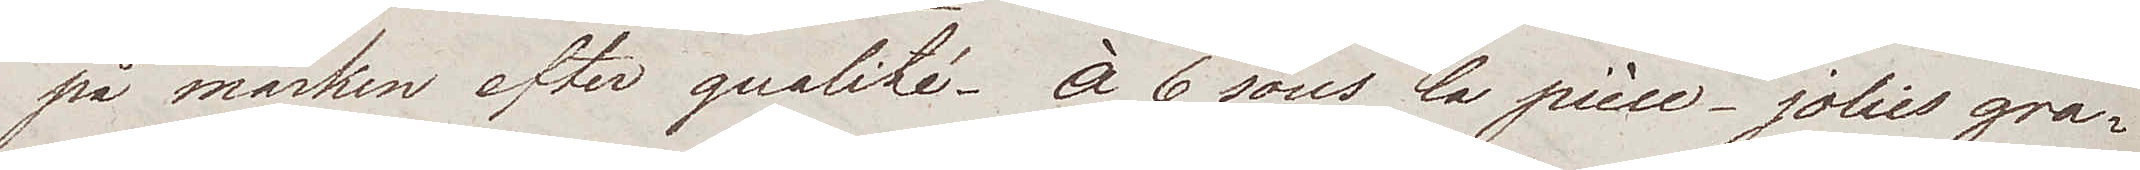på marken efter qualité. À 6 sous la pièce – jolies gra¬
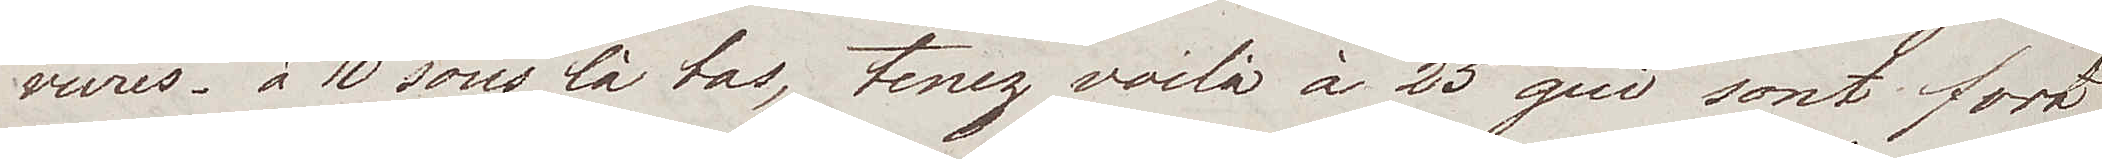vures – à 10 sous là bas, tenez voilá à 25 qui sont fort
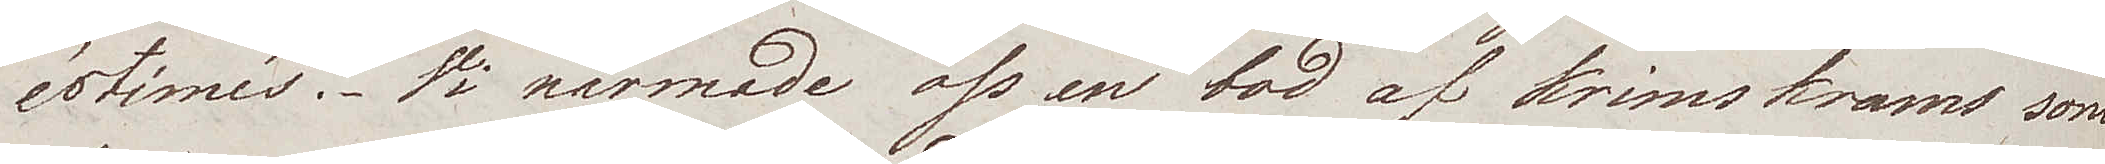estimés. Vi närmade oss en bod af krimskrams som
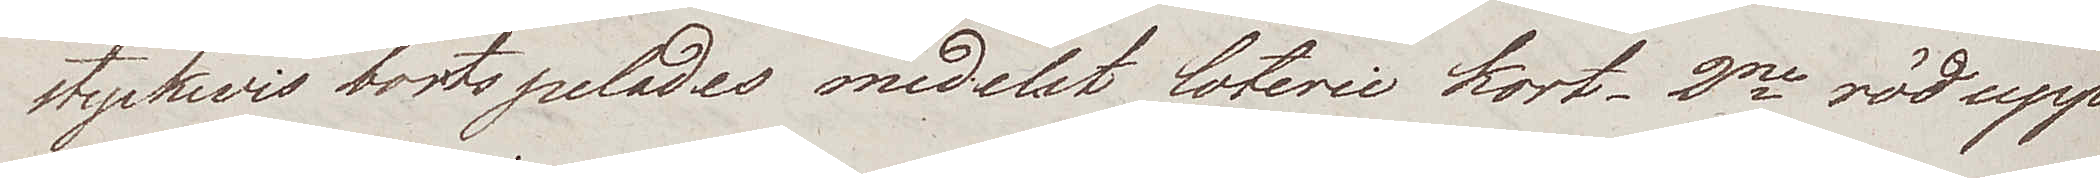styckwis bortspelades medelst loterie kort. 2ne röd upp¬
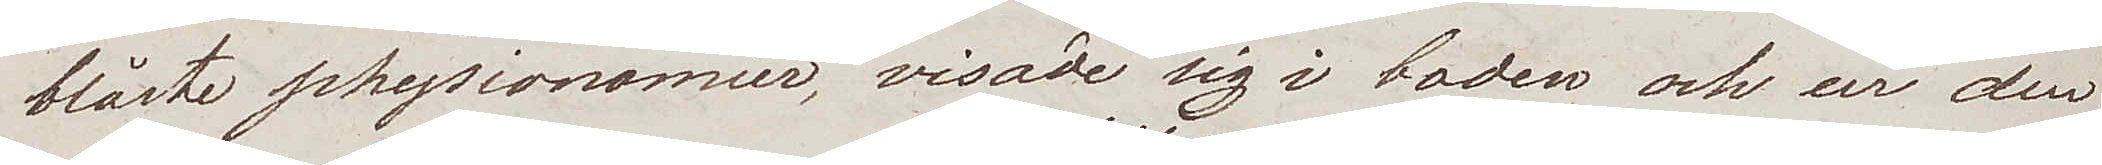blåste physionomier, visade sig i boden och ur den
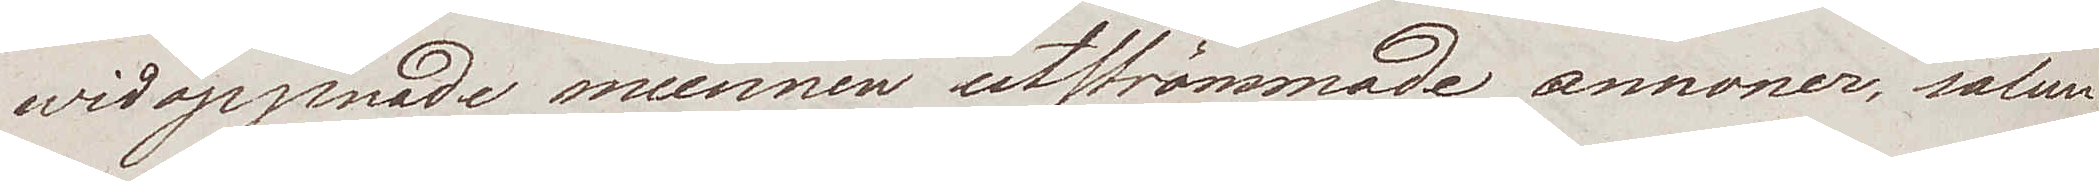widöppnade munnen utströmmade annoner, sålun¬
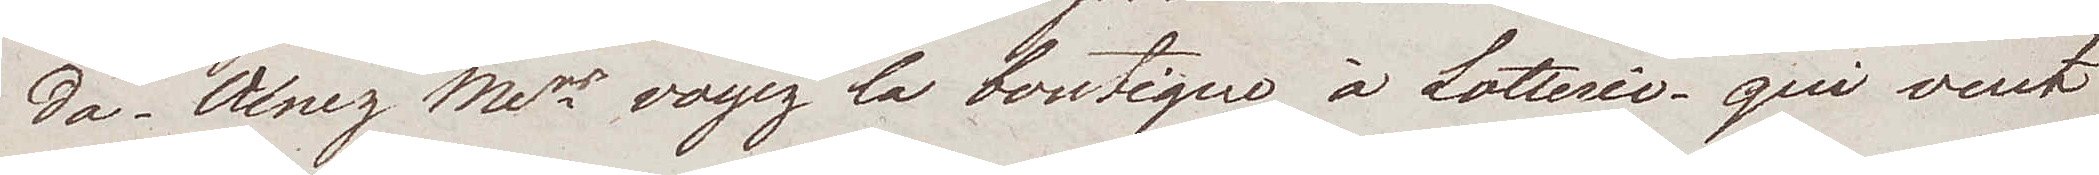da. Alnez Mers voyez la boutique à Lotterie qui vent
